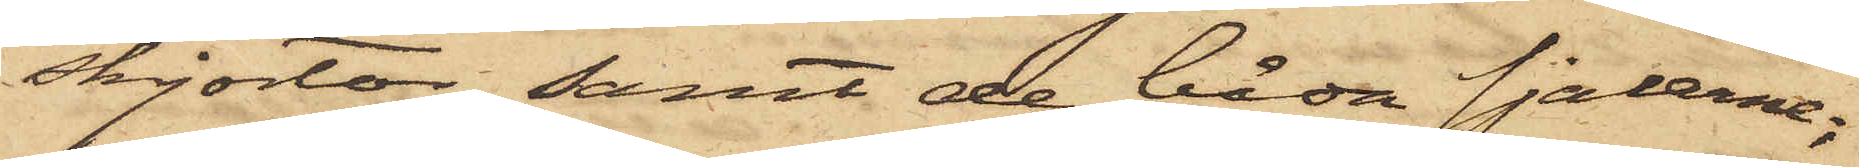skjortor samt de båda sjalerne;
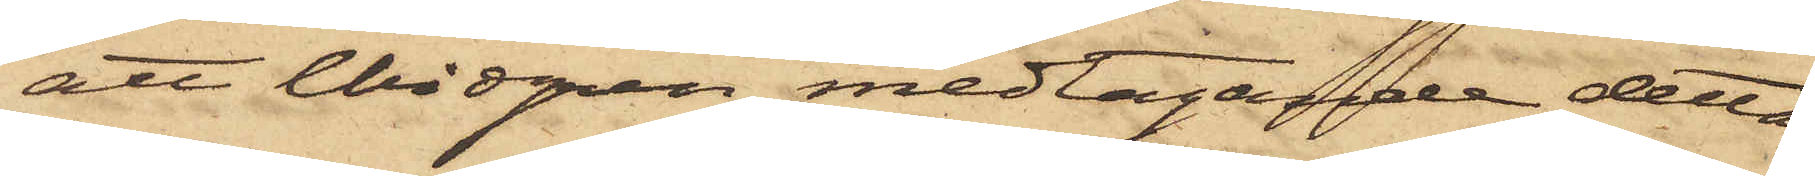att Widgren medtagande detta
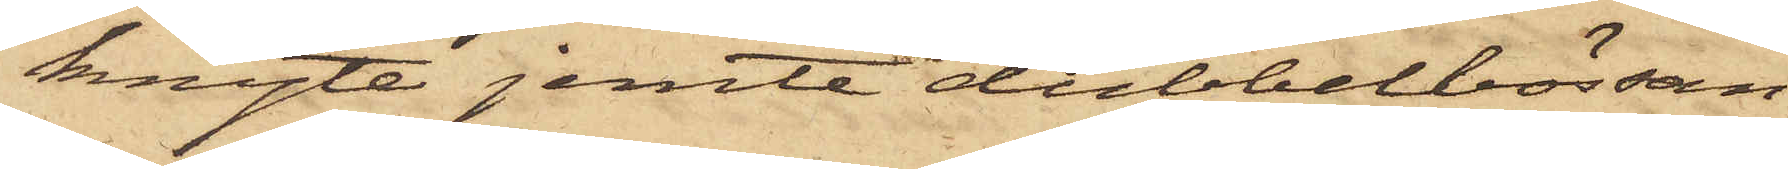knyte jemte dubbelbössan
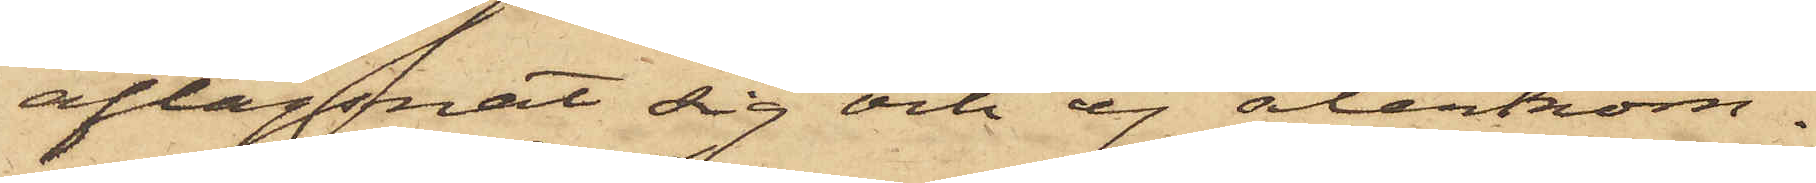aflägsnat sig och ej återkom¬
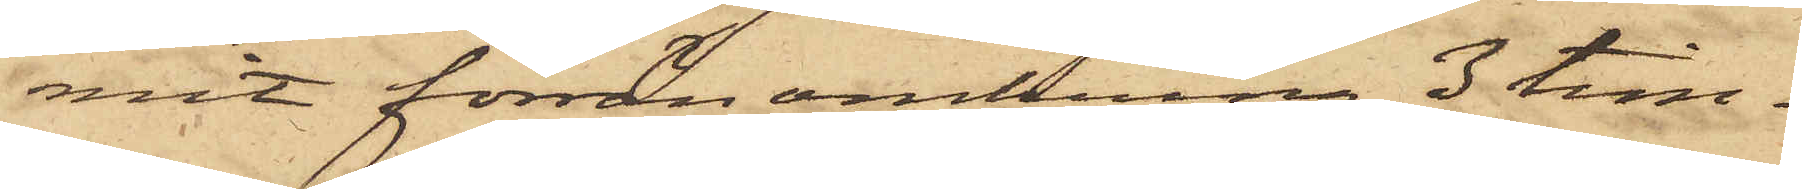mit förrän omkring 3 tim¬
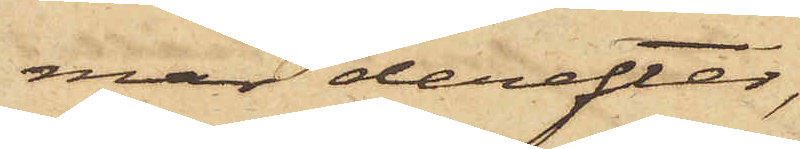mar derefter,
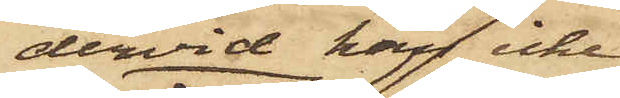dervid han icke
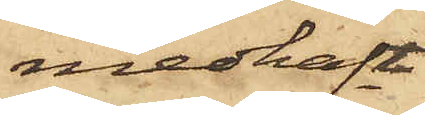medhaft
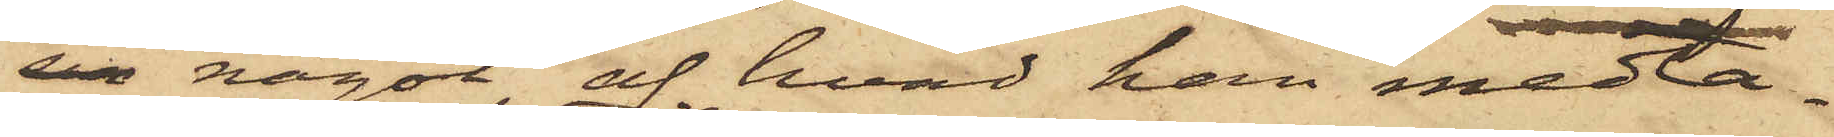sin något af hvad han medta¬
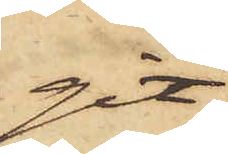git
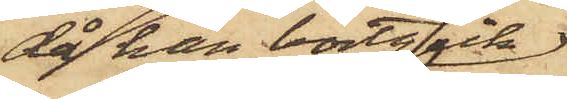då han bortgick;
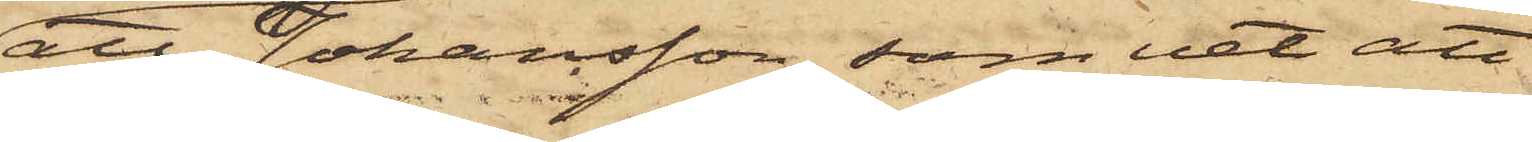att Johansson, som vet att
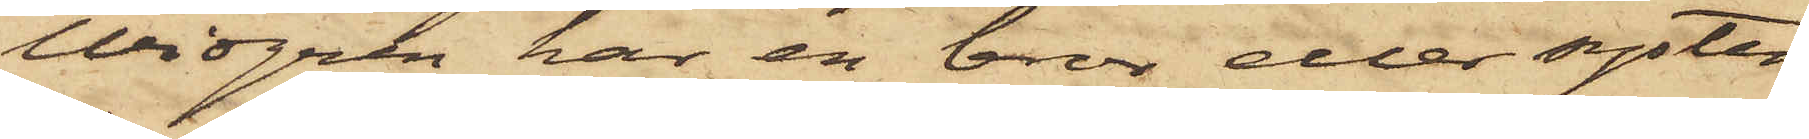Widgren har en bror eller syster
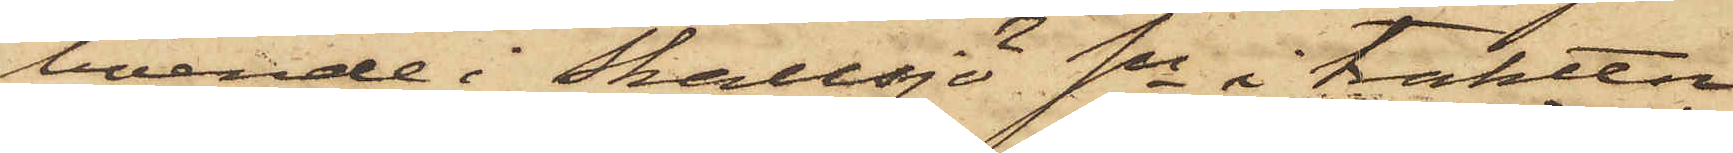boende i Skallsjö Sn i trakten
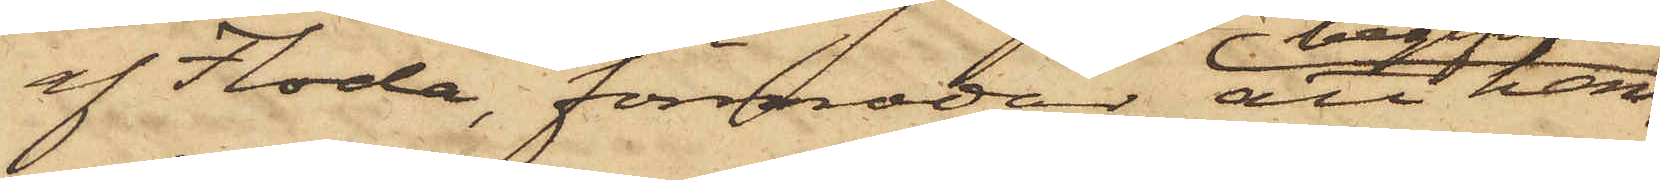af Floda, förmodar att han
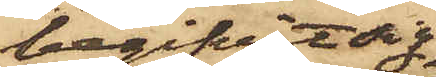begifvit sig
